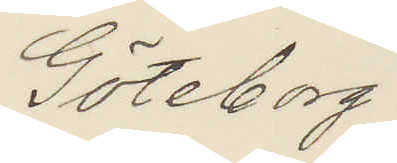Göteborg.
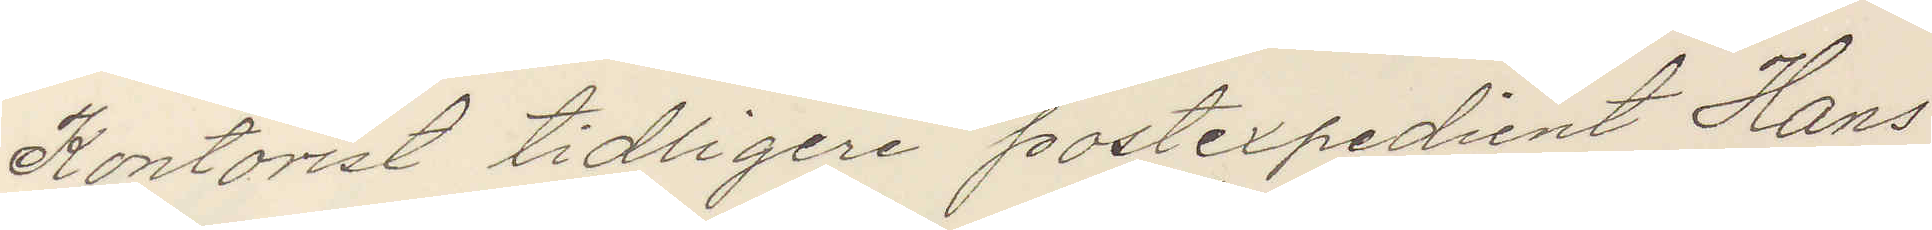Kontorist tidligare postexpediant Hans
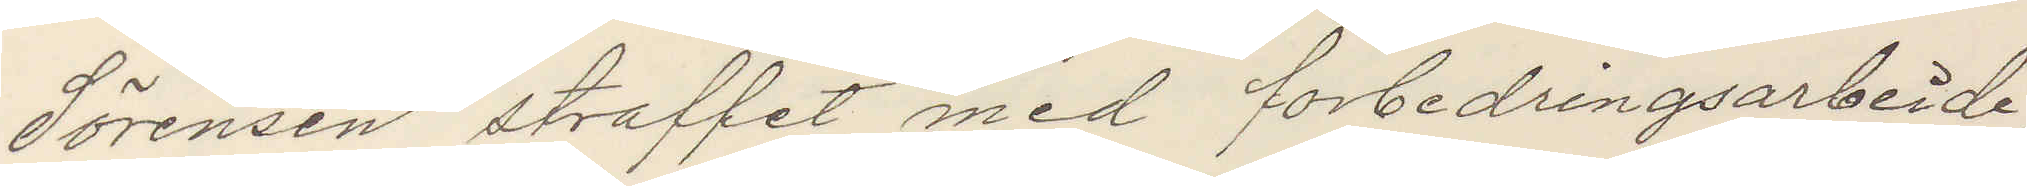Sörensen straffet med forbedringsarbeide,
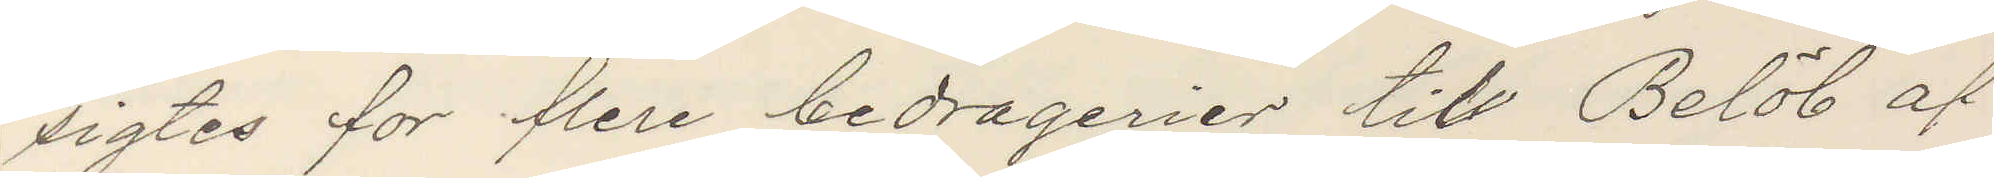sigtes for flere bedragerier til Belöb af
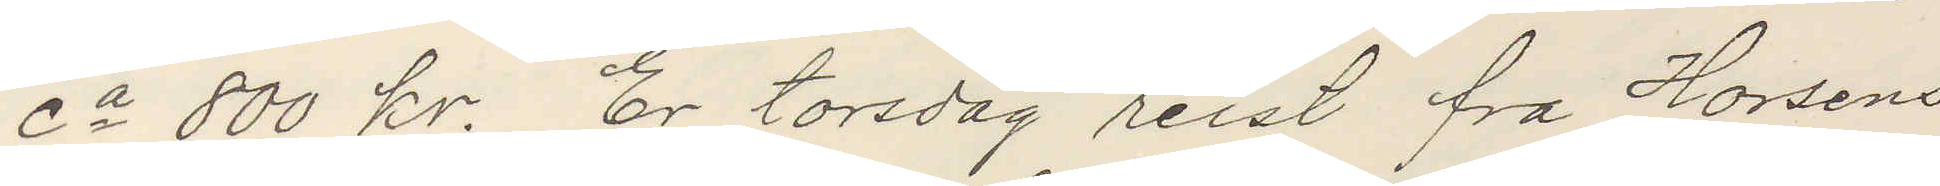Ca 800 kr. Er torsdag reist fra Horsens
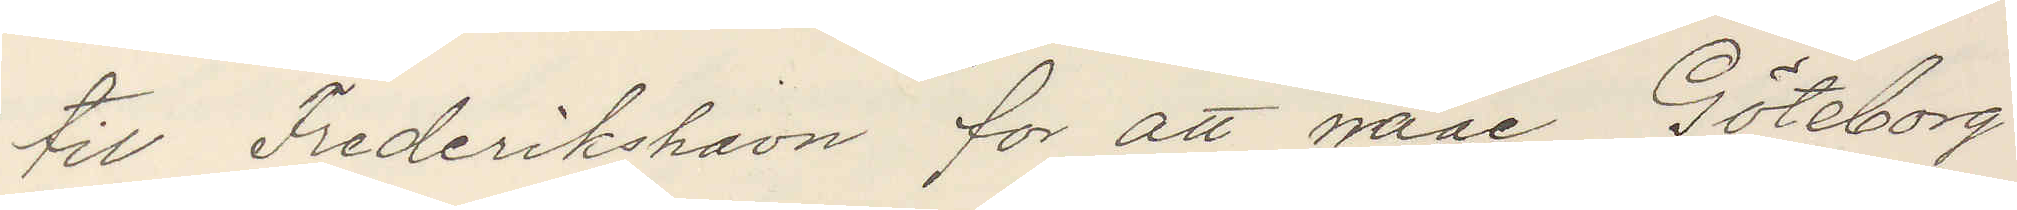til Frederikshavn for att naae Göteborg
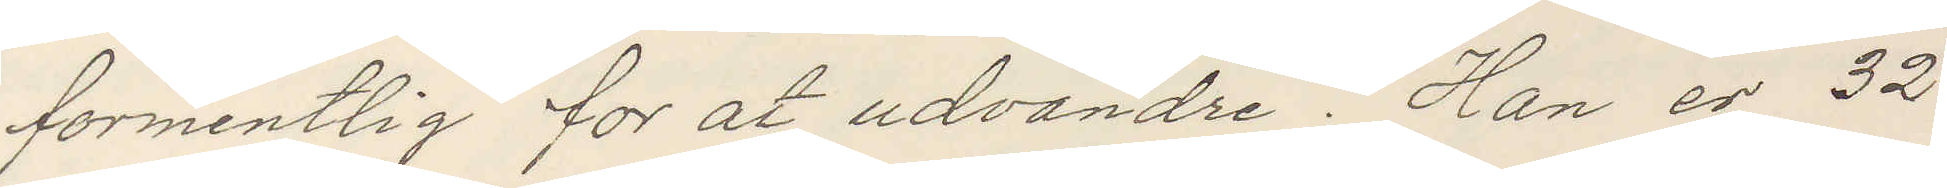formentlig for at udvandre. Han er 32
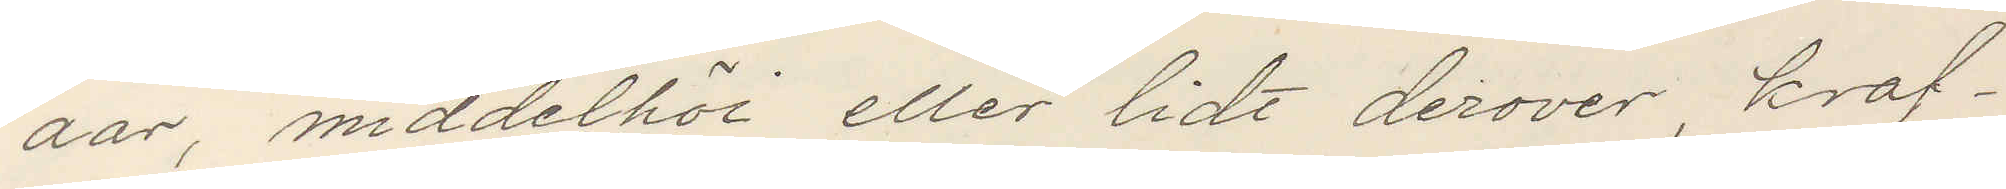aar, middelhöi eller lidt derover, kraf¬
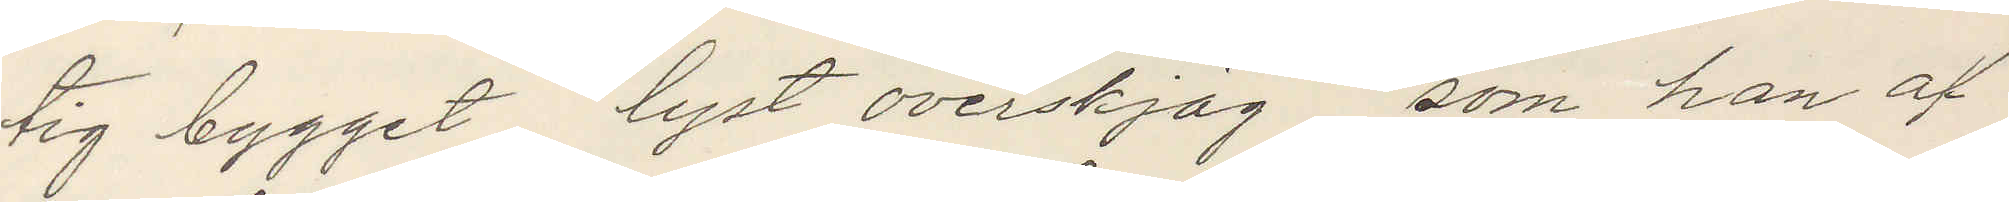tig bygget, lyst overskjäg, som han af
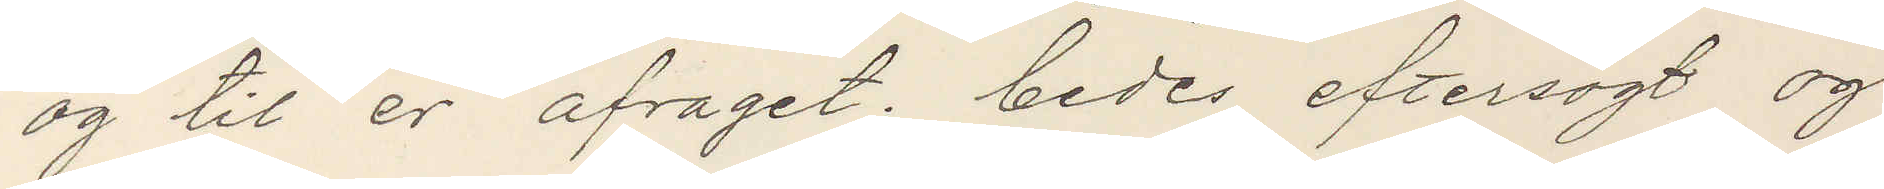og til er afraget; bedes eftersögt og
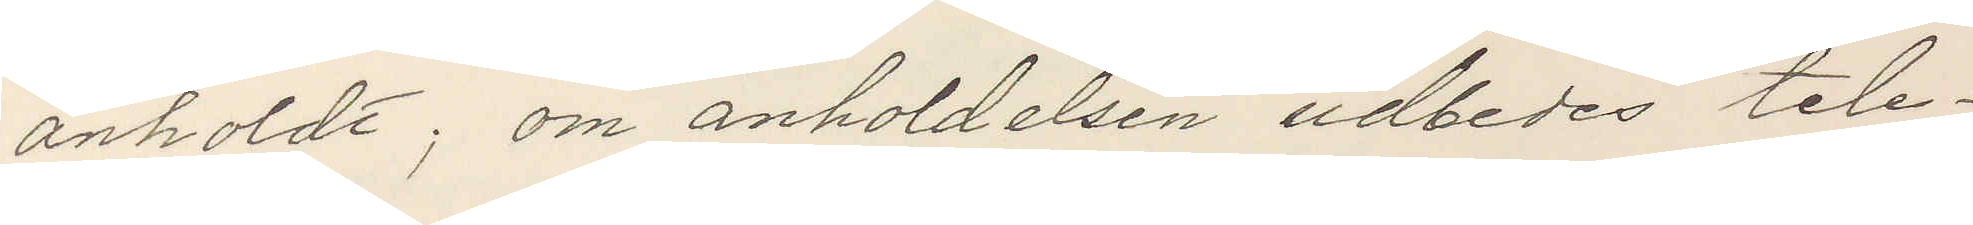anholdt, om anholdelsen udbedes tele¬
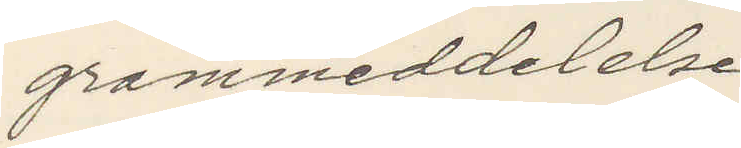grammeddelende.
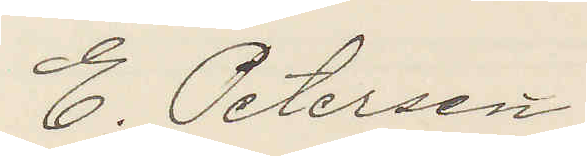E. Petersen
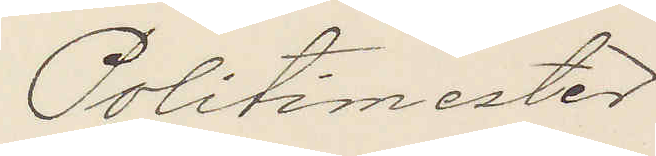Politimester
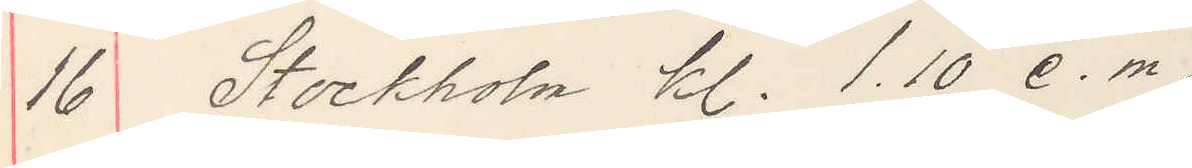16 Stockholm kl 1.10 e. m.
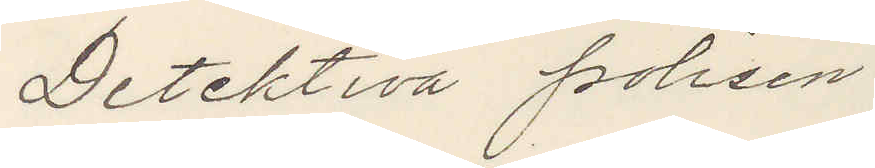Detektiva polisen,
